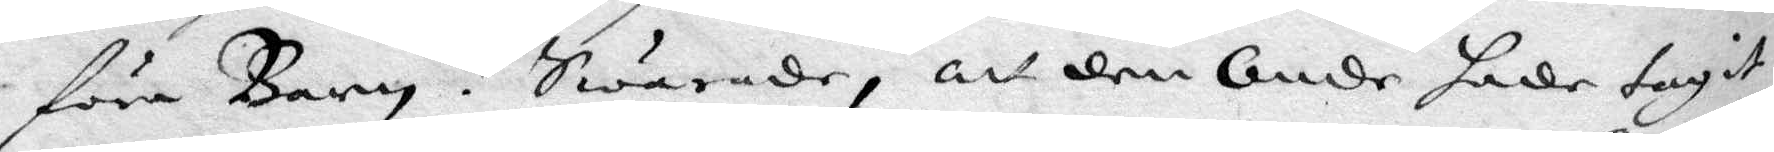föra Barn? Swarade, att den Onde hade tagit
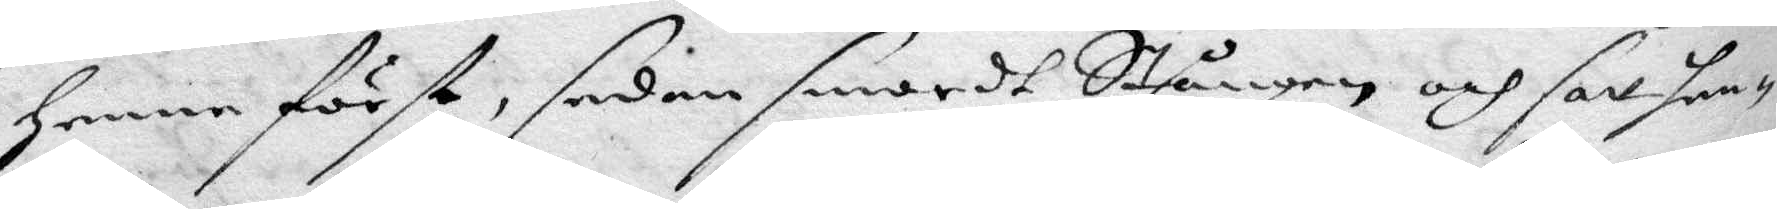Henne först, sedan smordt Stången och satt hen¬
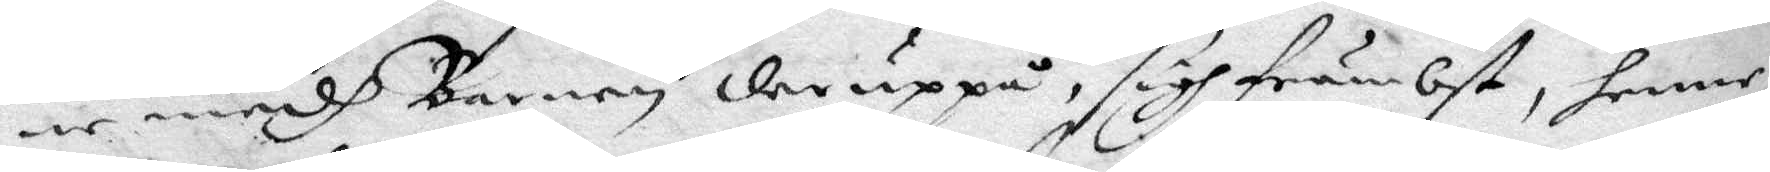ne medh Barnen der uppå, sigh främbst, henne
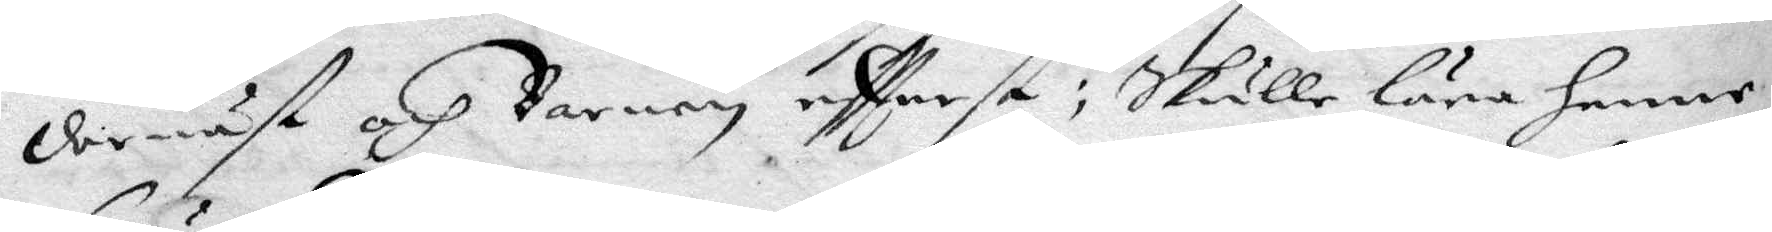dernäst och Barnen eftterst, skulle lära henne
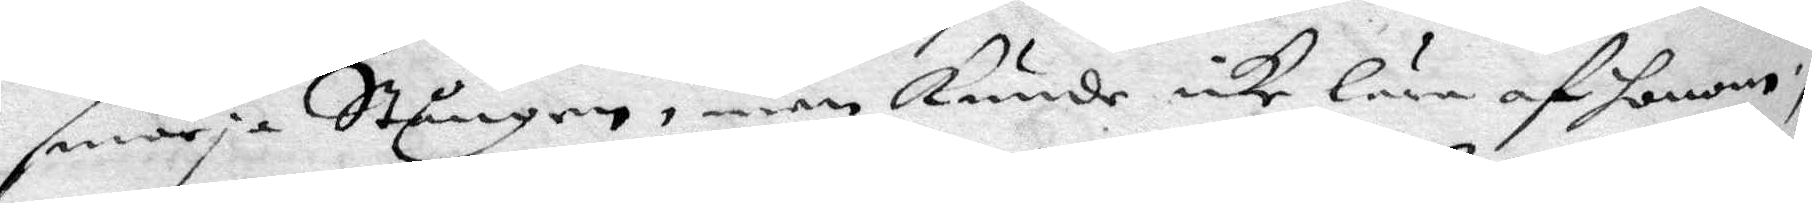smörja Stången, men kunde icke lära af honom;
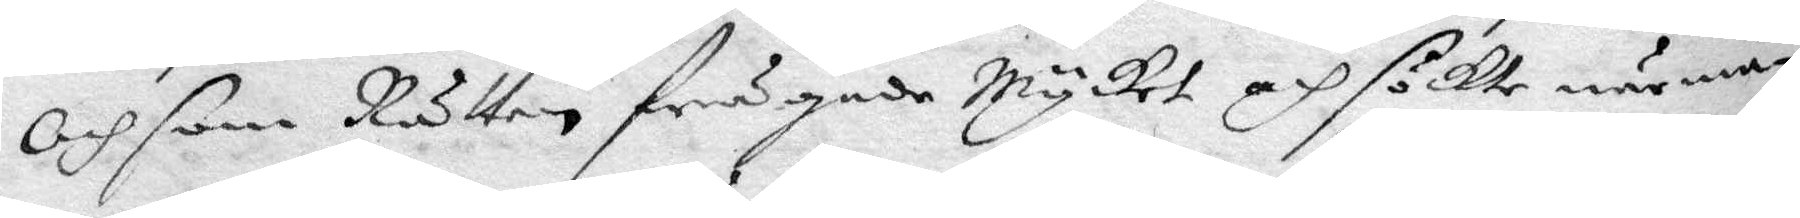Och som Rätten frågade mycket och söckte närma¬
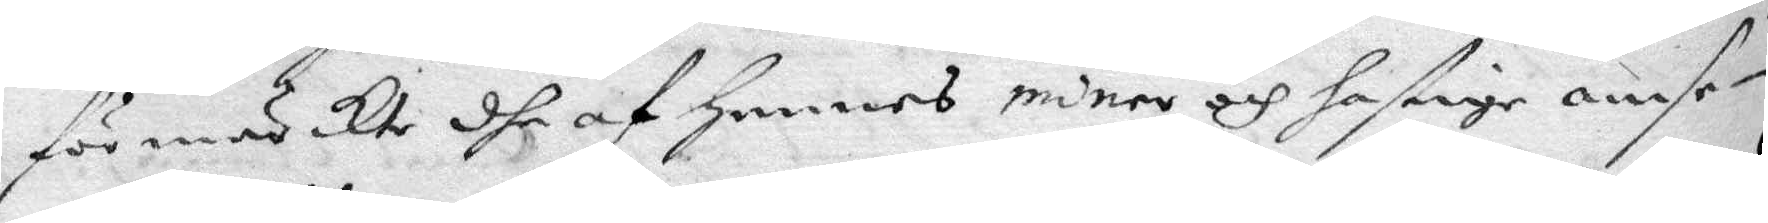förmärckte dhe af Hennes miner och hastige omse¬
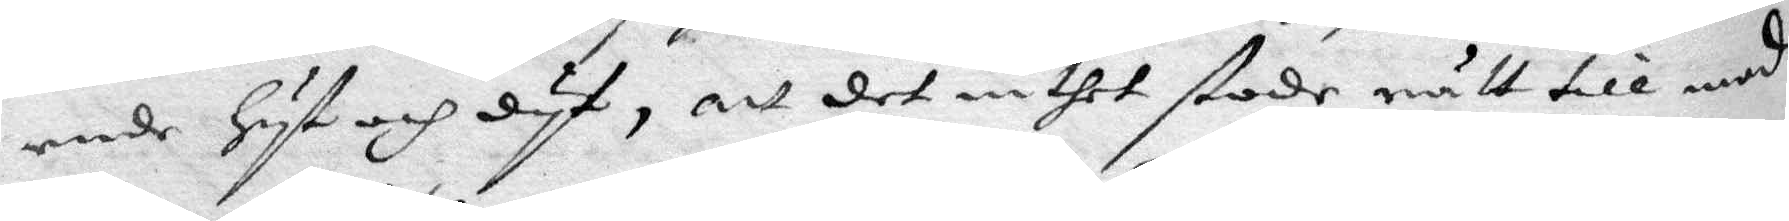ende hyt och dyt, att det inthet stode rätt till med
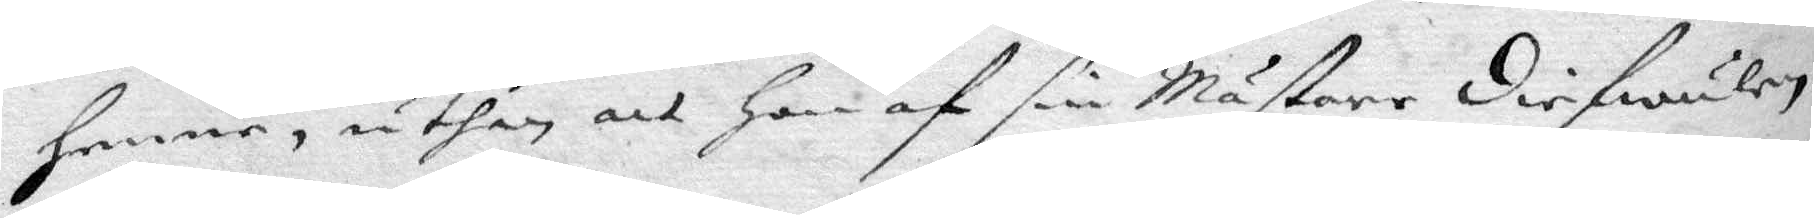henne, uthan att Hon af sin Mästare diefwulen
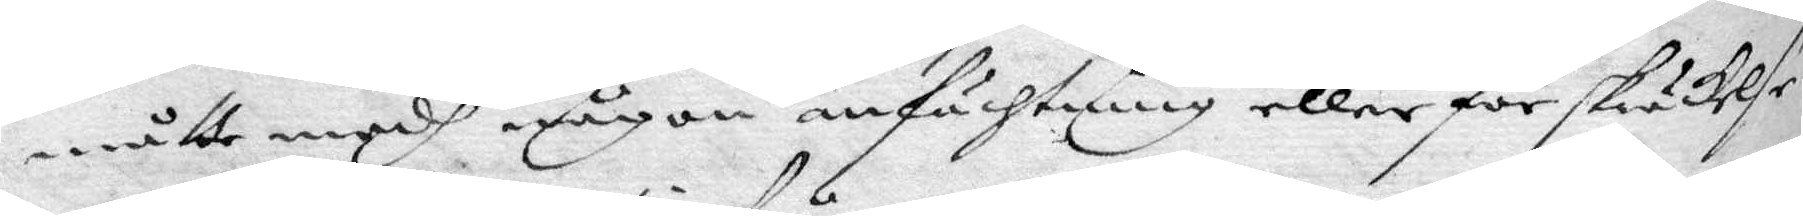måtte medh någon anfächtning eller förskräckelse
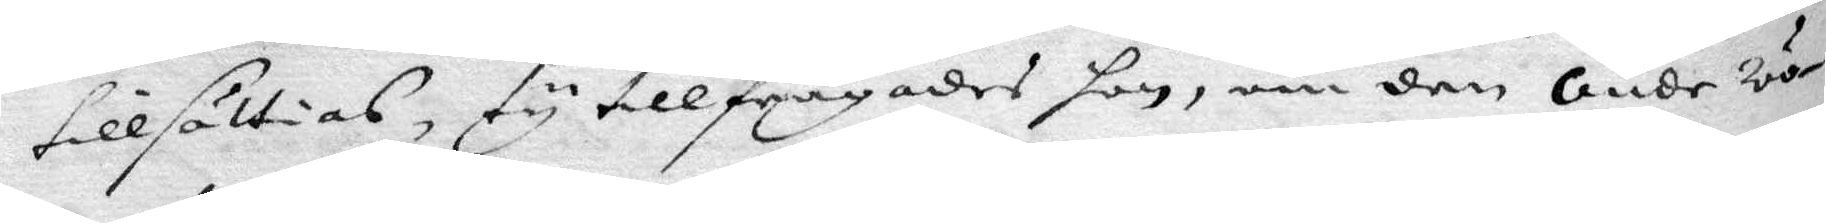tillsättias, ty tillfrågades hon, om den Onde wo¬
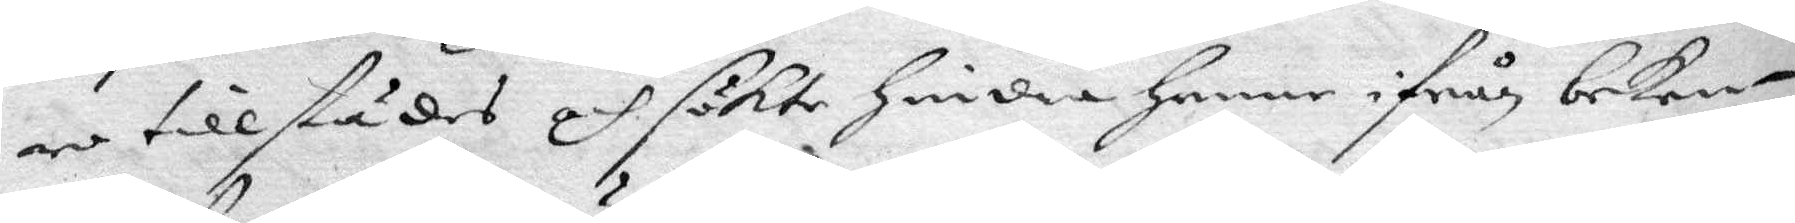re tillstädes och sökte hindra henne ifrån beken¬
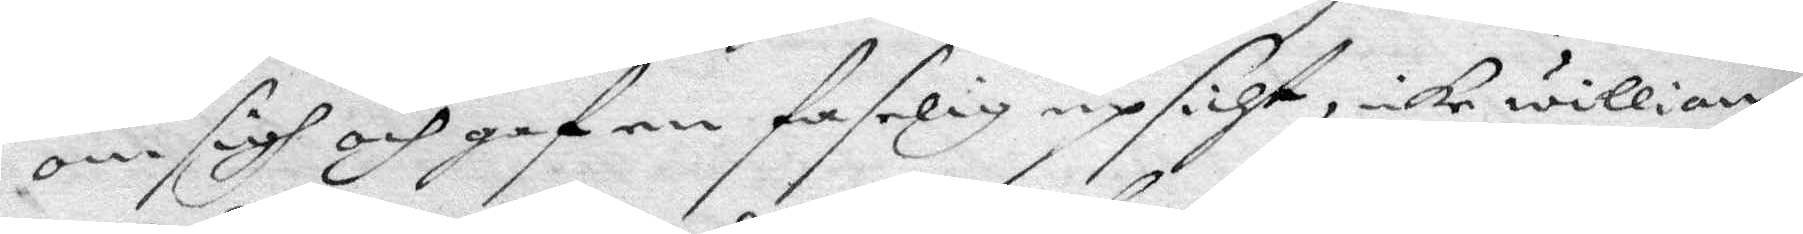om sigh och gaf en faselig upsicht, icke willian¬
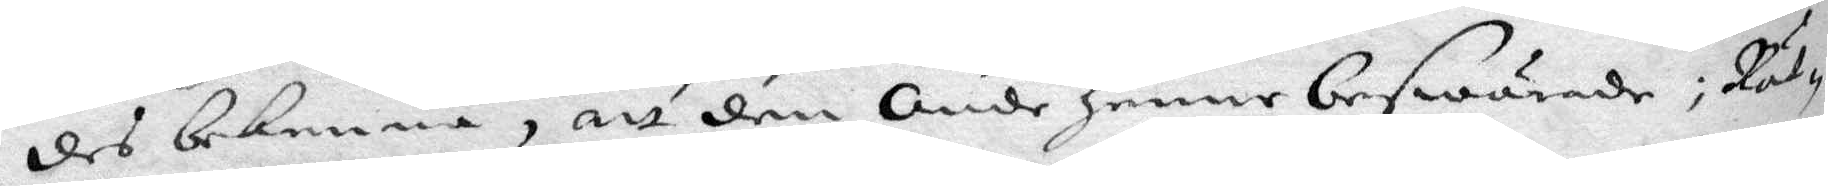des bekenna, att den Onde henne beswärade; Rät¬
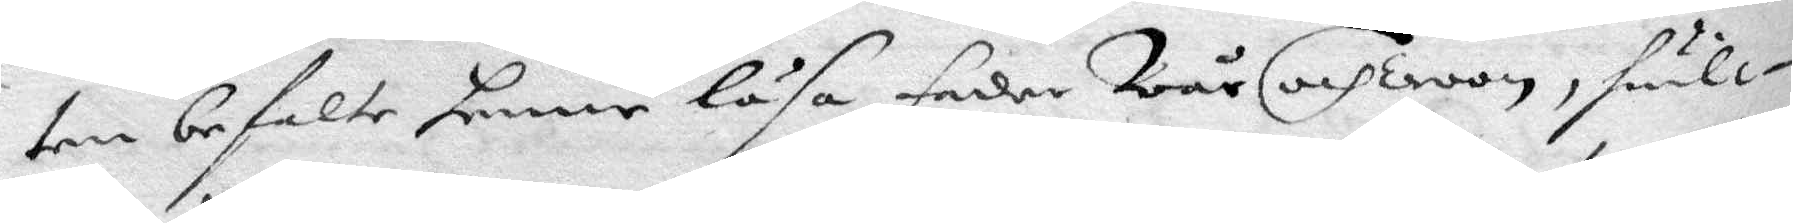ten befalte henne läsa fader Wår och Troon, hwilc¬
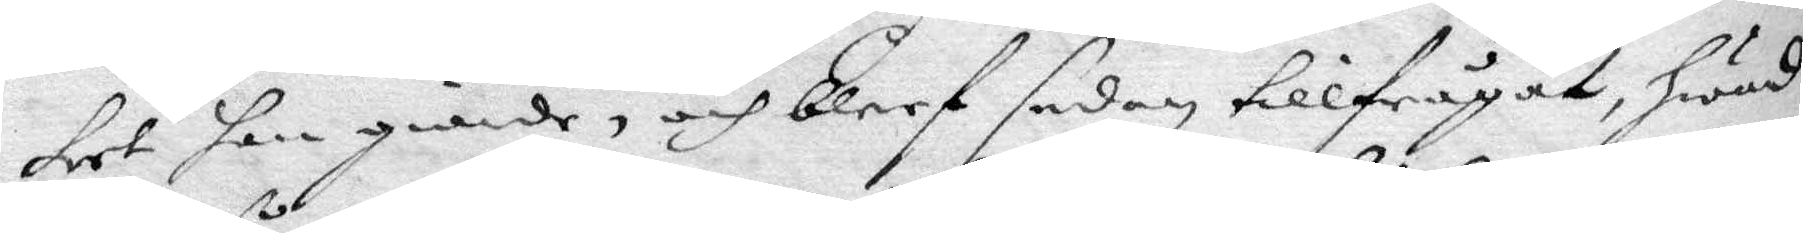ket hon giorde, och bleef sedan tillfrågat, hwad
